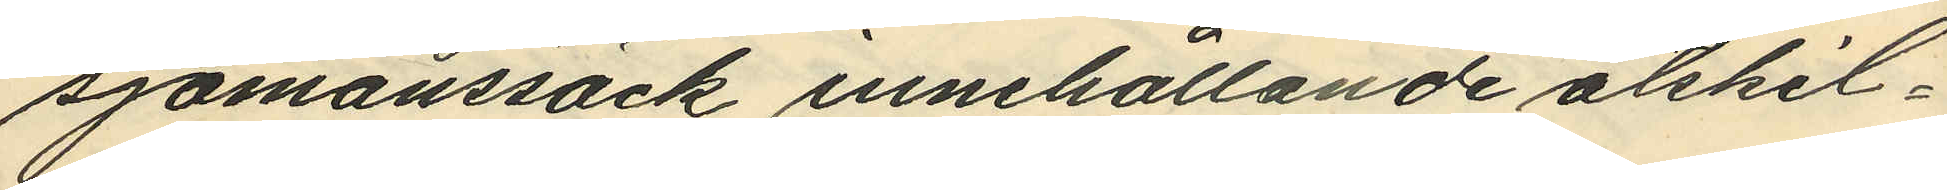sjömanssäck, innehållande åtskil¬
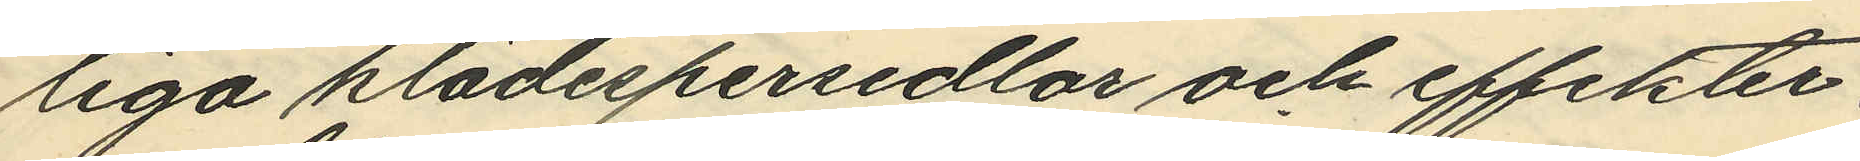liga klädespersedlar och effekter.
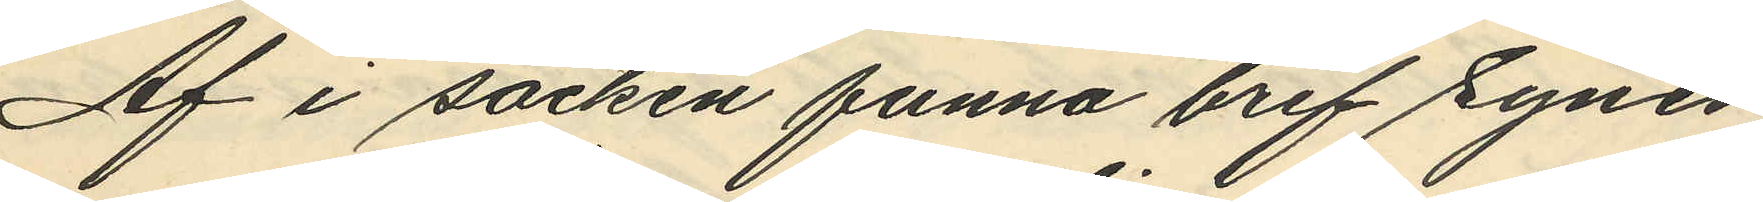Af i säcken funna bref synes
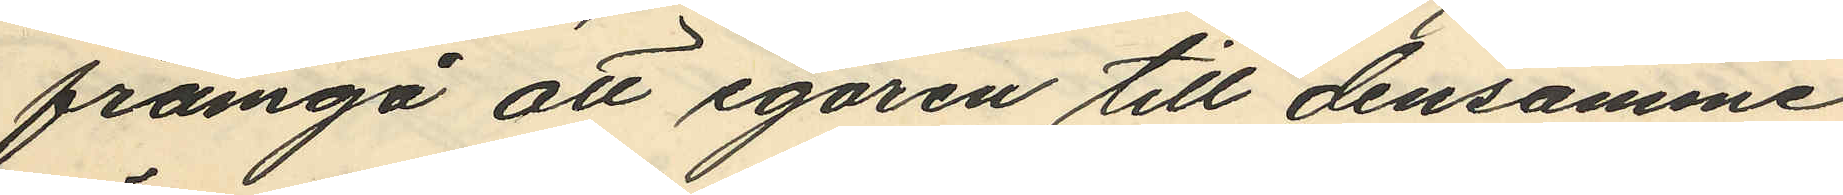framgå att egaren till densamme
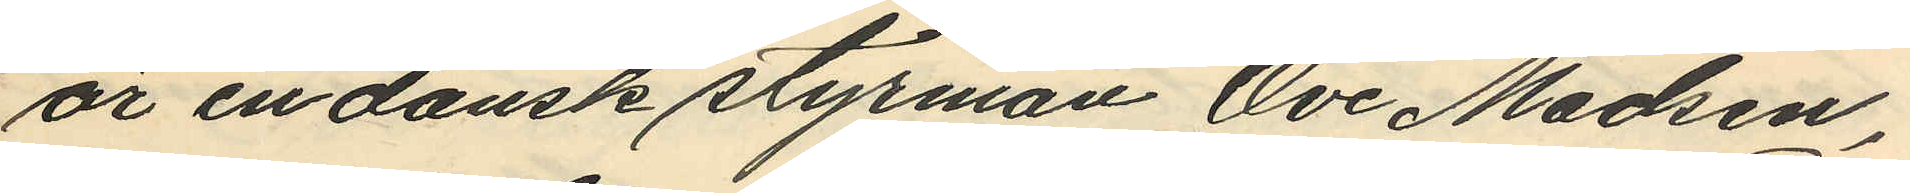är en dansk styrman Ove Madsen,
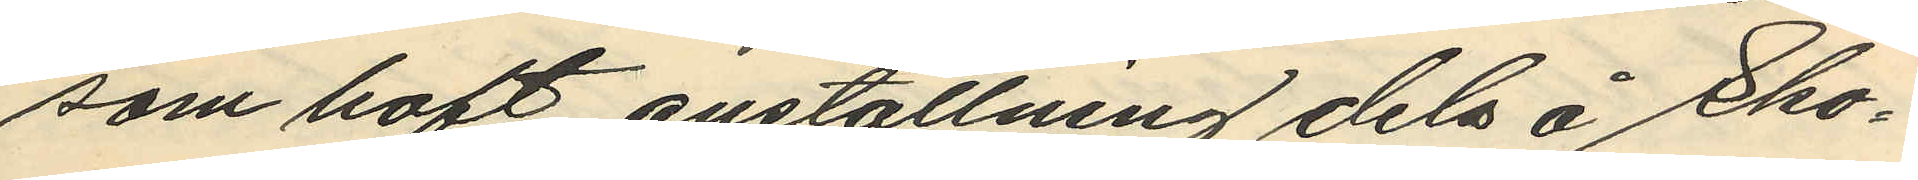som haft anställning dels å Sko¬
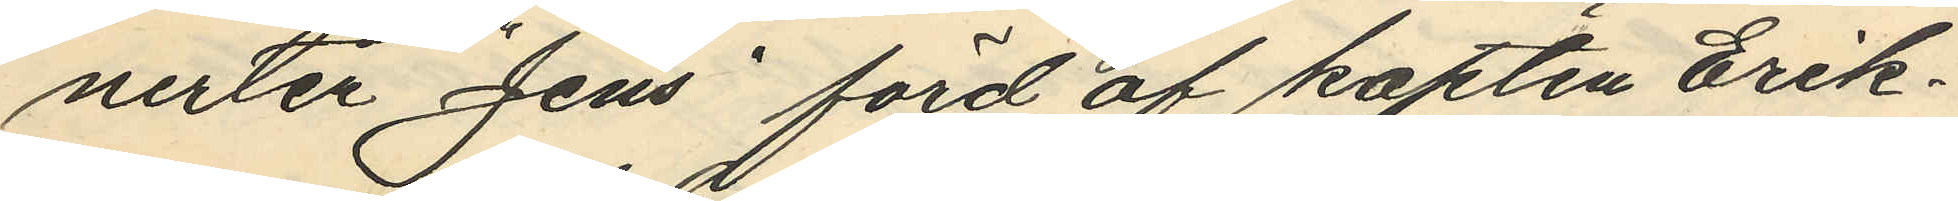nerten "Jens" förd af kapten Erik¬
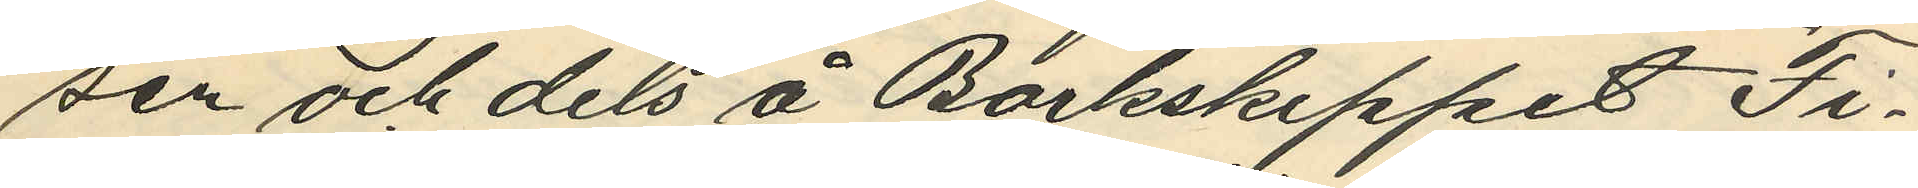sen och dels å Barkskeppet "Fi¬
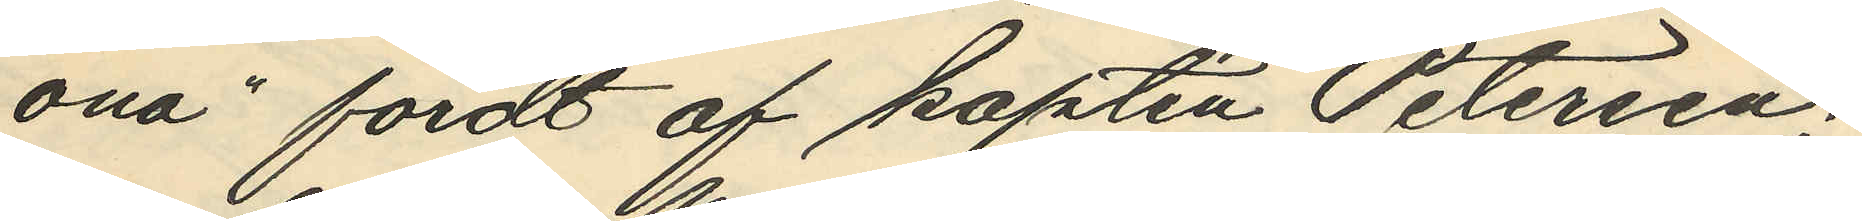ona" fördt af kapten Petersen;
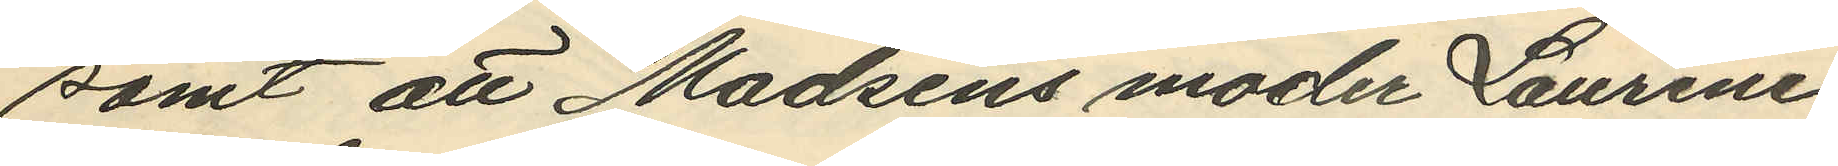samt att Madsens moder Laurine
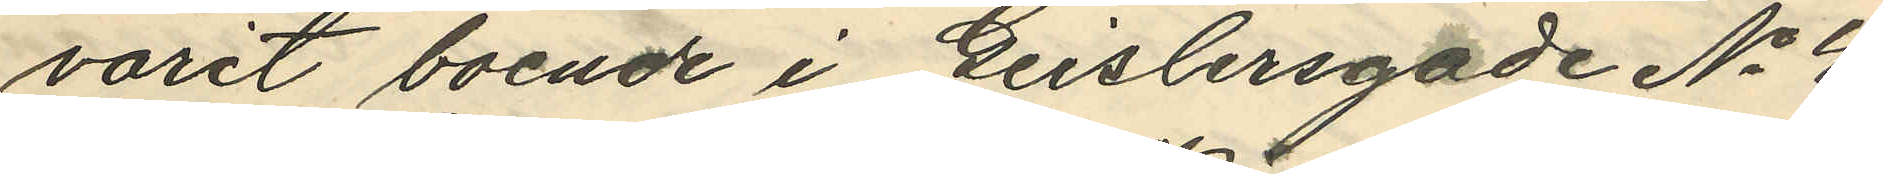varit boende i Geislersgade No 4
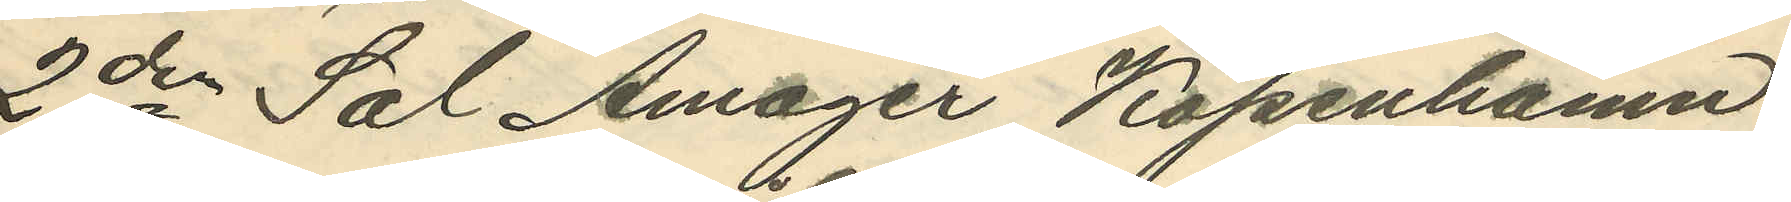2de Sal Amager Köpenhamn.
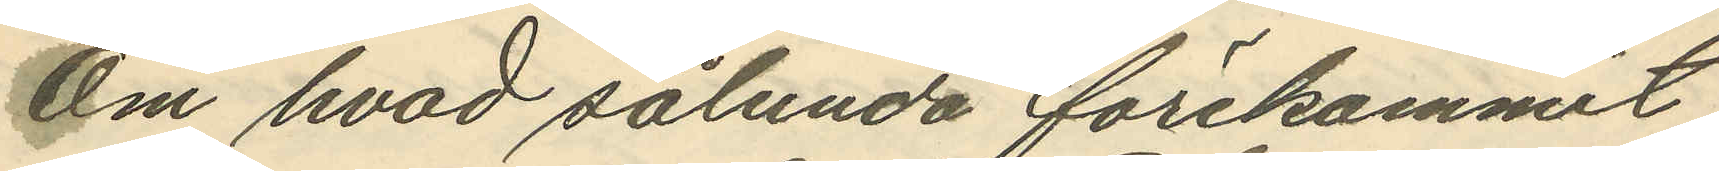Om hvad sålunda förekommit
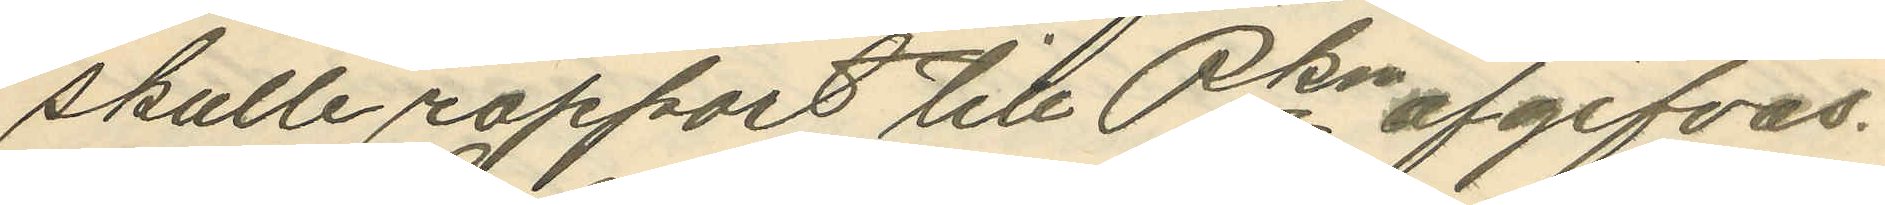skulle rapport till Pkn afgifvas.
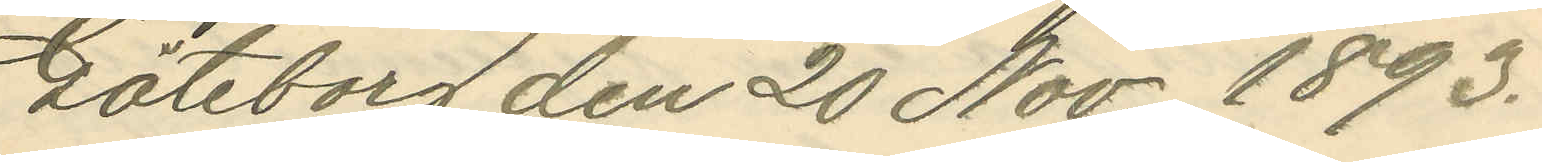Göteborg den 20 Nov 1893.
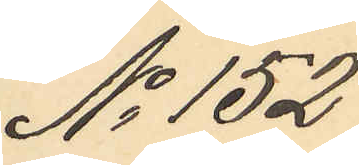No 152
